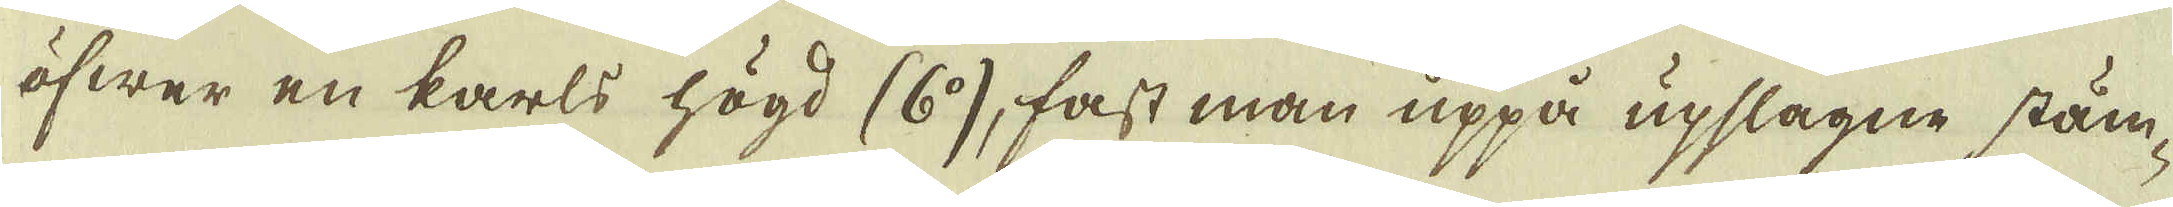öfwer en karls högd (6:o), fast man uppå upslagne stäm-
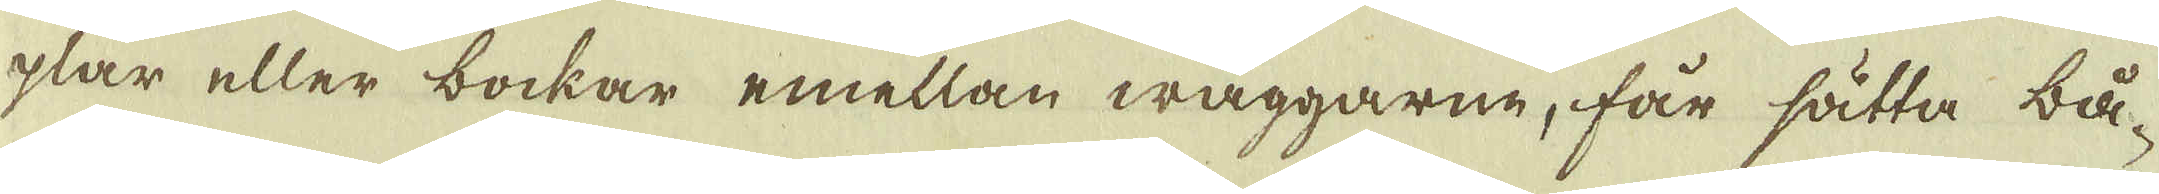plar eller bockar emellan wäggarne, får sätta bå-
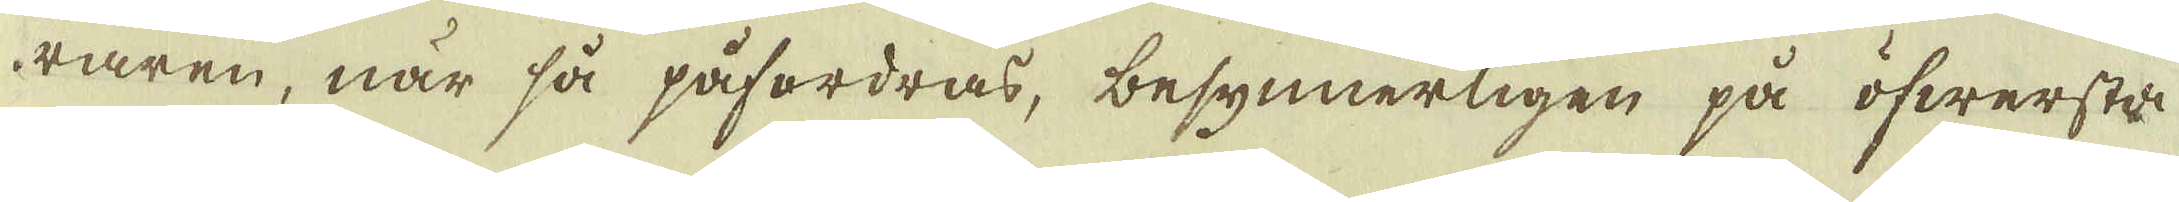raren, när så påfordras, besynnerligen på öfwersta
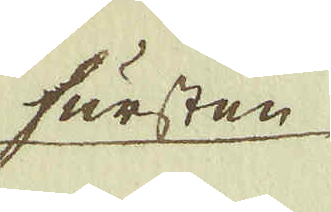fursten
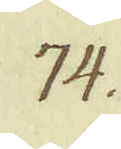74.
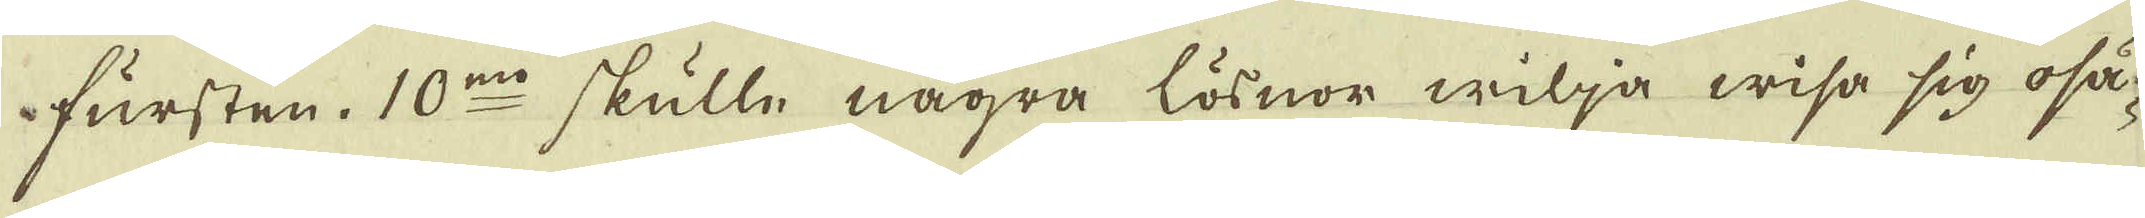fursten. 10:mo skulle några lösnor wilja wisa sig osä-
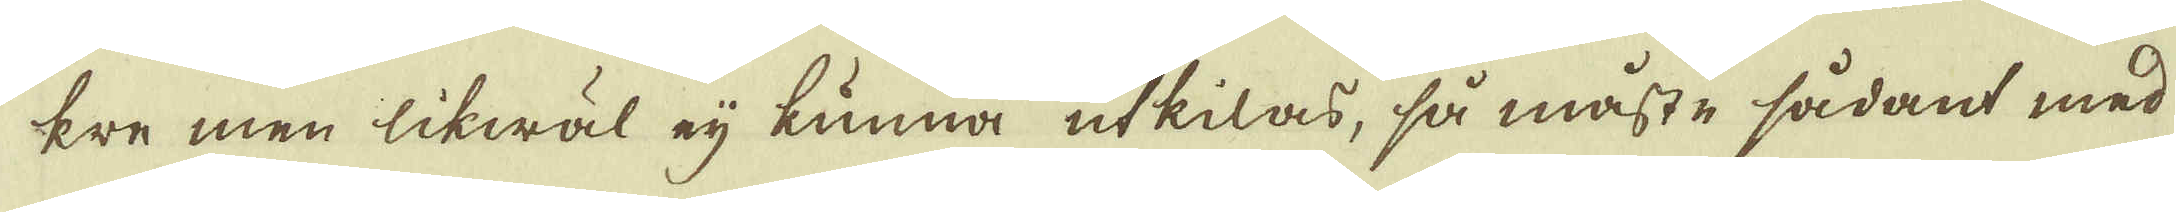kre men likwäl eij kunna utkilas, så måste sådant med
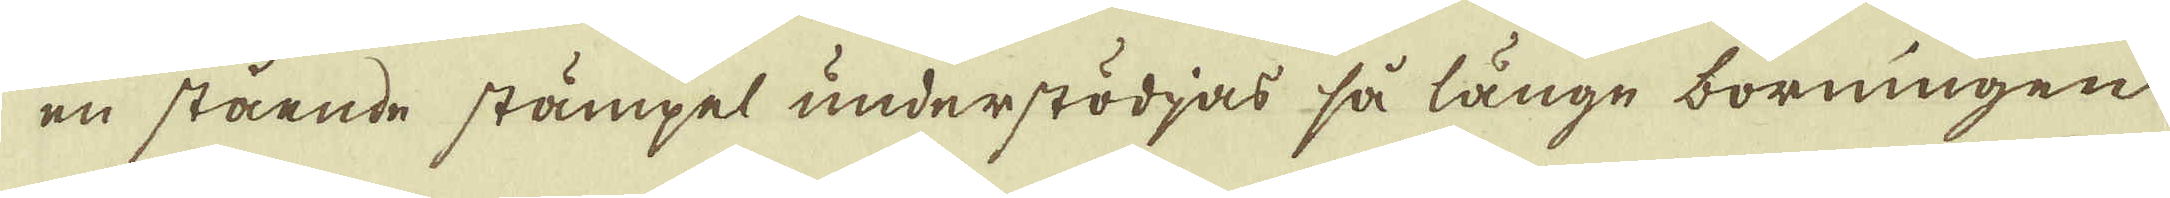en stående stämpel understödjas så långe borningen
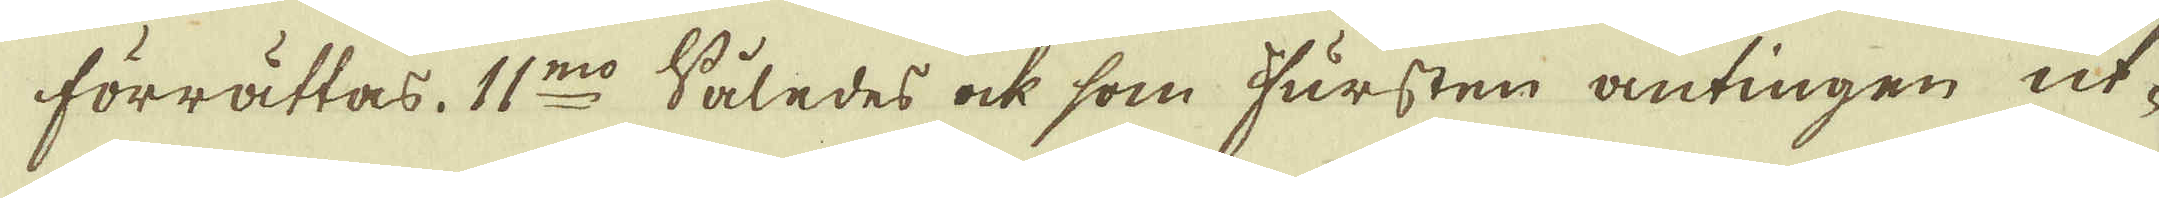förrättas. 11:mo Således ock som Fursten antingen ut-
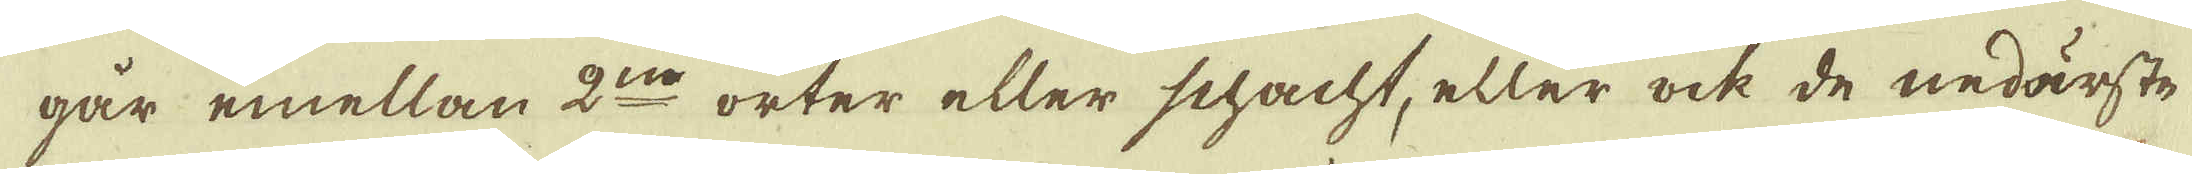går emellan 2:ne orter eller schacht, eller ock de nedärste
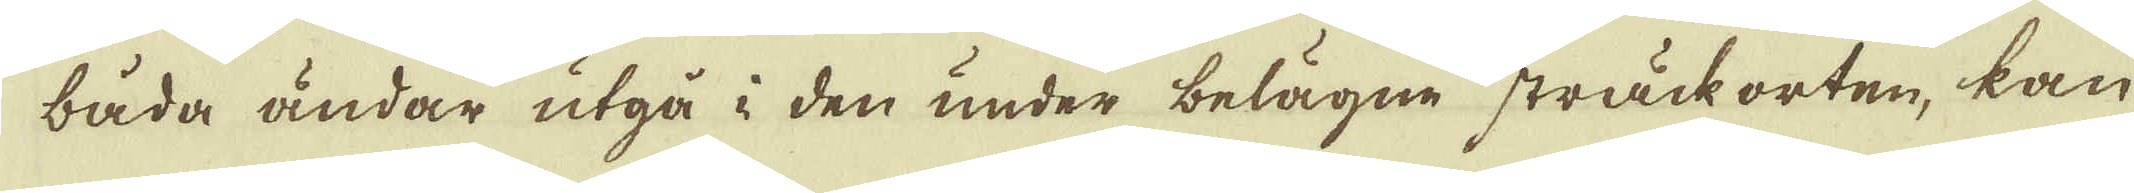båda ändar utgå i den under belägne sträck orten, kan
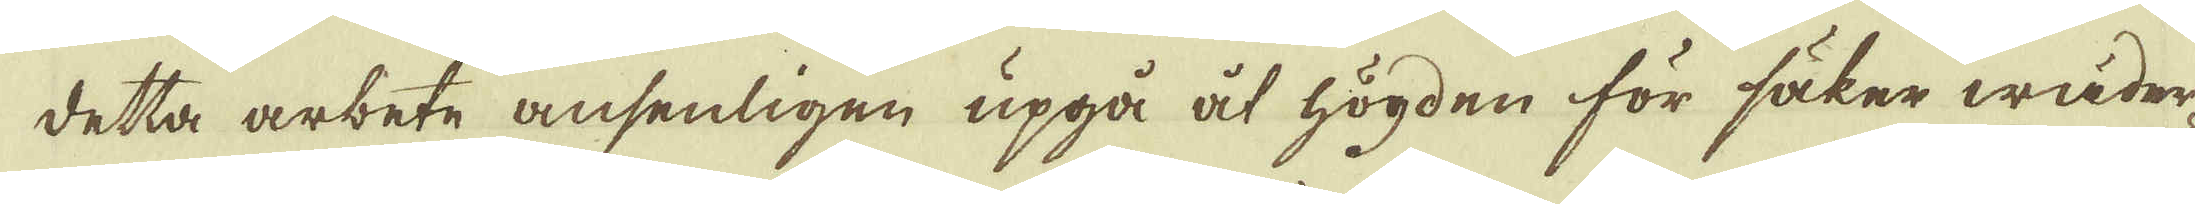detta arbete ansenligen upgå åt högden för säker wäder-
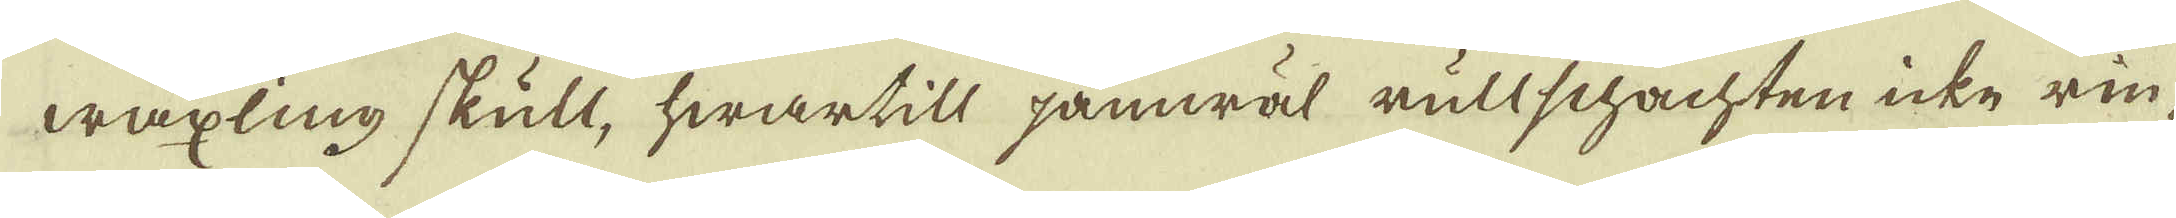wäxling skull, hwartill jämwäl rullschachten icke rin-
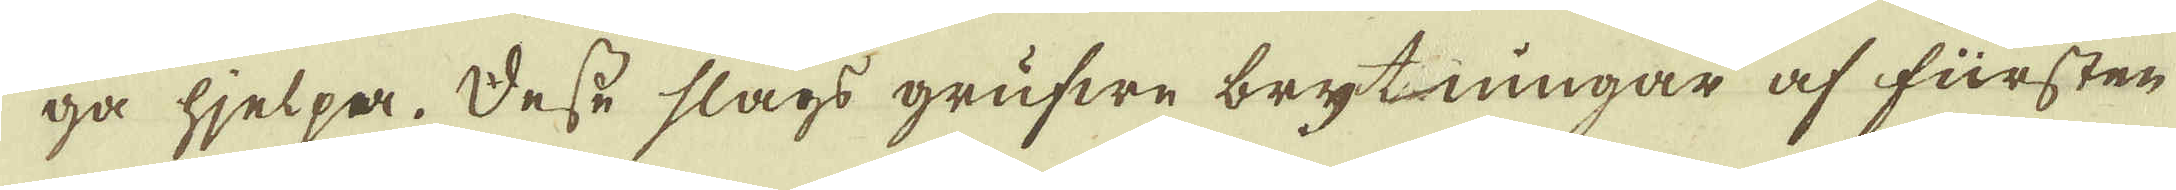ga hjelpa. Desse slags grufwe brytningar af fürsten
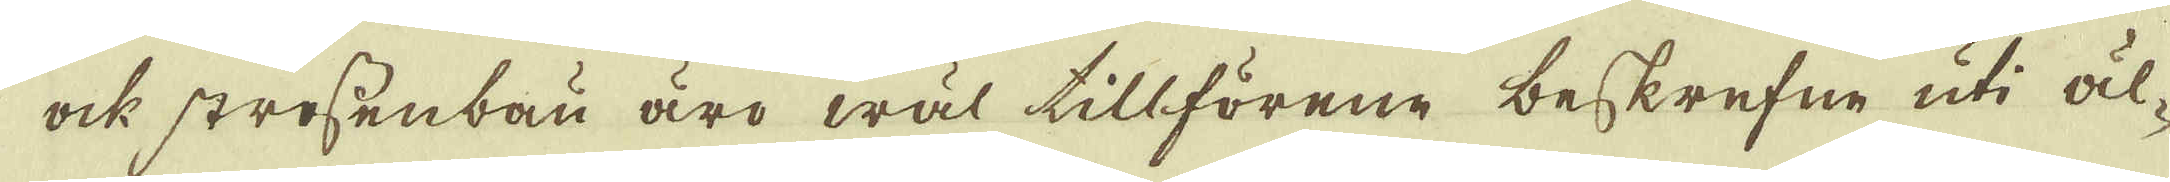ock strossenbau äro wäl tillförene beskrefne uti äl-
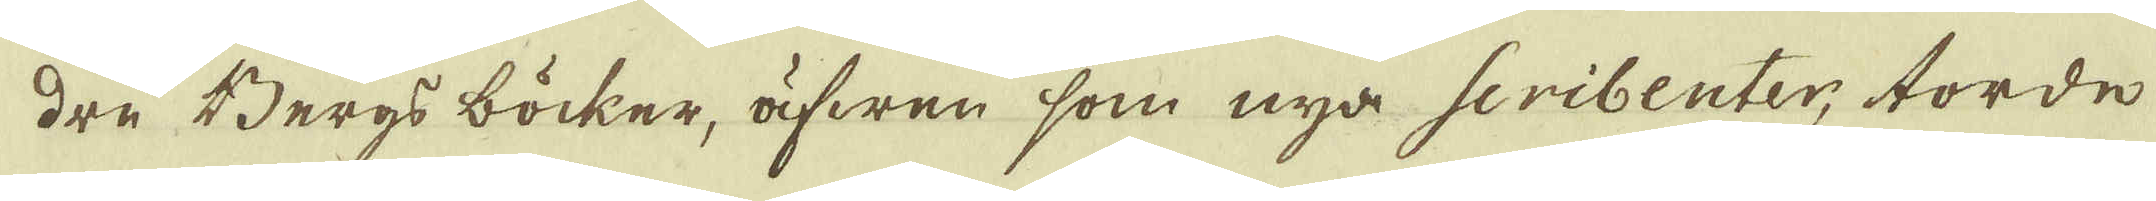dre Bergs böcker, äfwen som nya scribenter; torde
